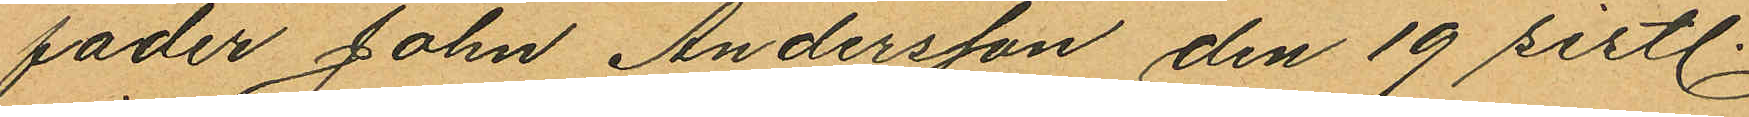fader John Andersson den 19 sistl.
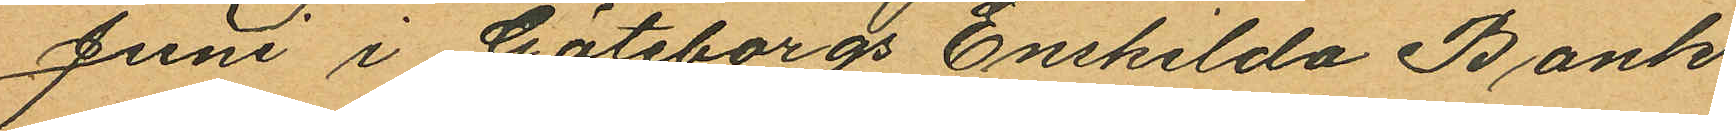Juni i Göteborgs Enskilda Bank,
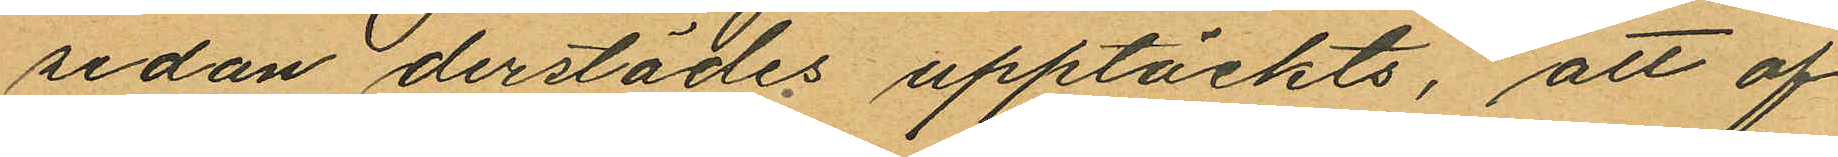sedan derstädes upptäckts, att af
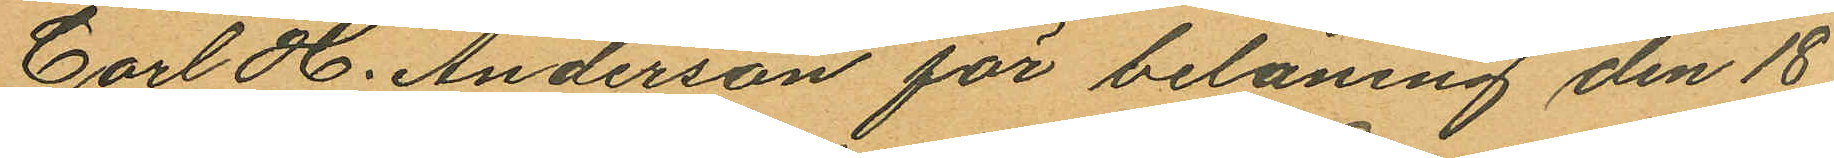Carl H. Anderson för belåning den 18
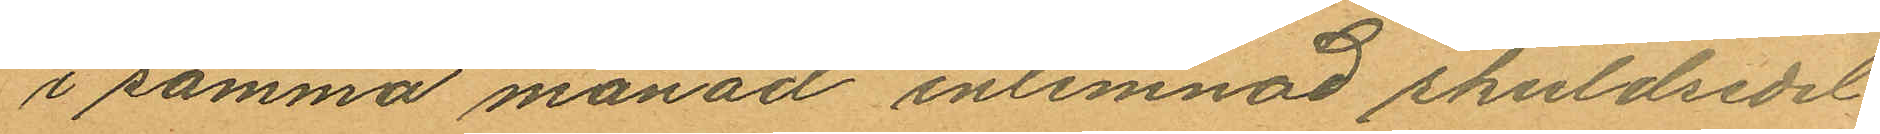i samma månad inlemnad skuldsedel
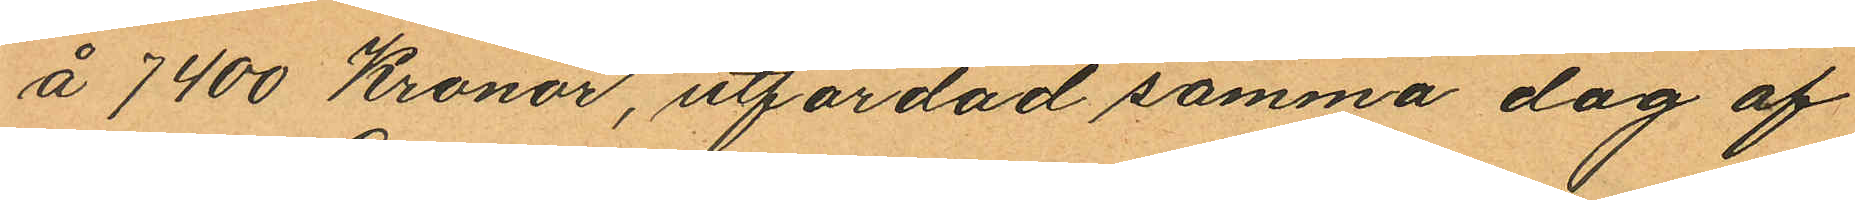á 7400 Kronor, utfärdad samma dag af
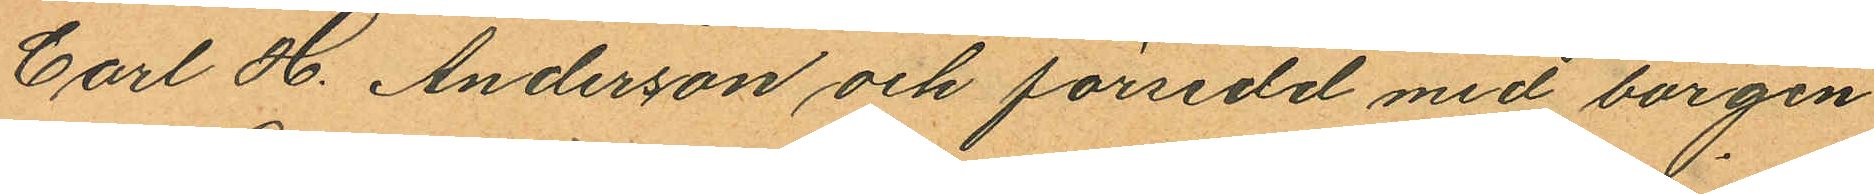Carl H. Anderson och försedd med borgen
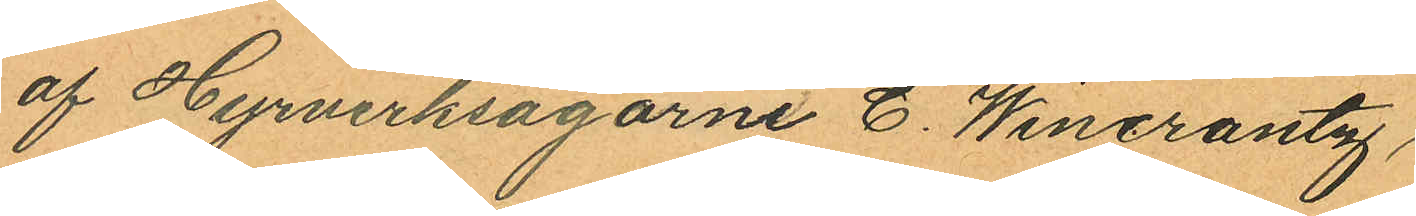af Hyrverksägarne C. Wincrantz
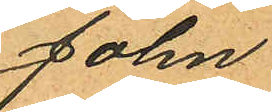John
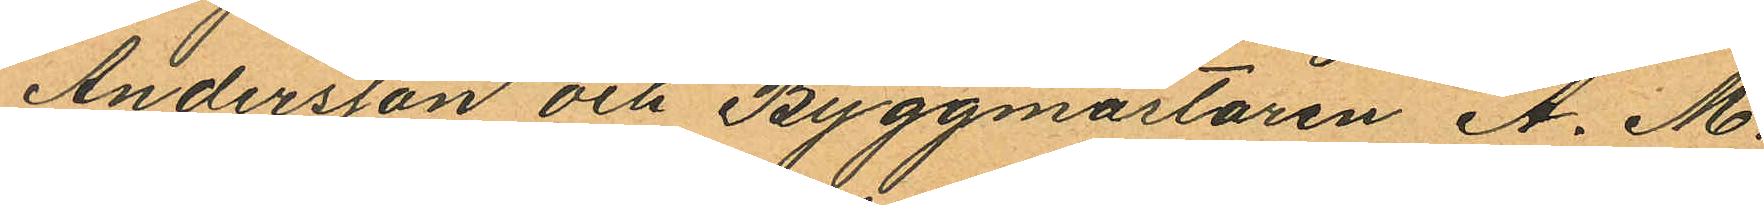Andersson och Byggmästaren A. M.
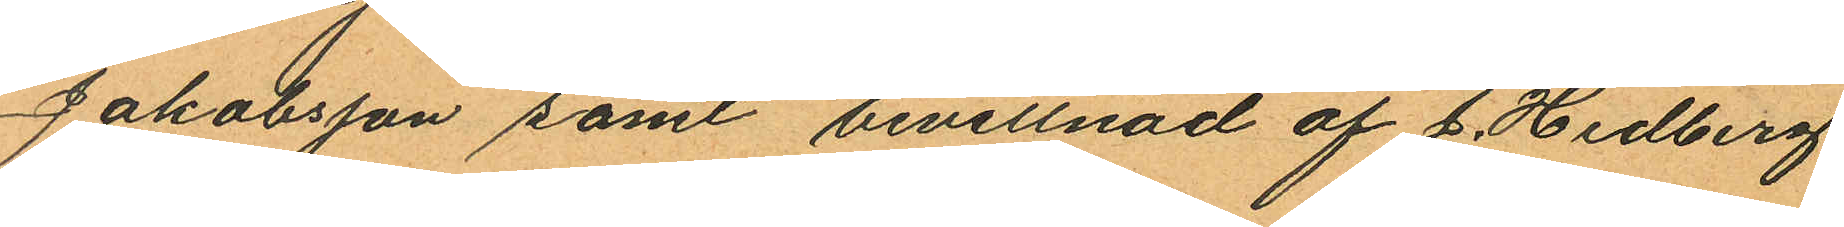Jakobsson samt bevittnad af J. Hedberg
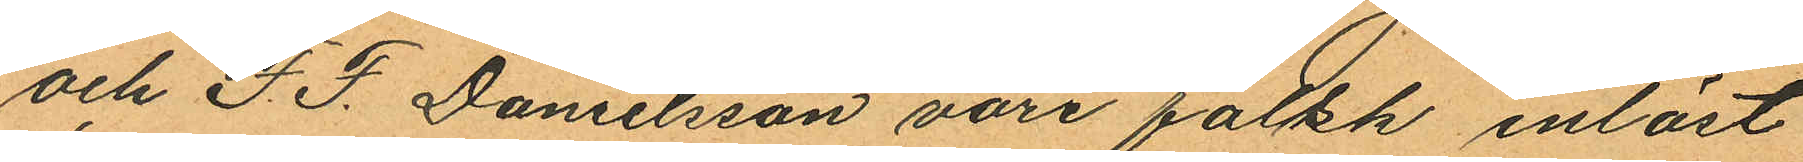och F. F. Danielsson vore falsk inlöst
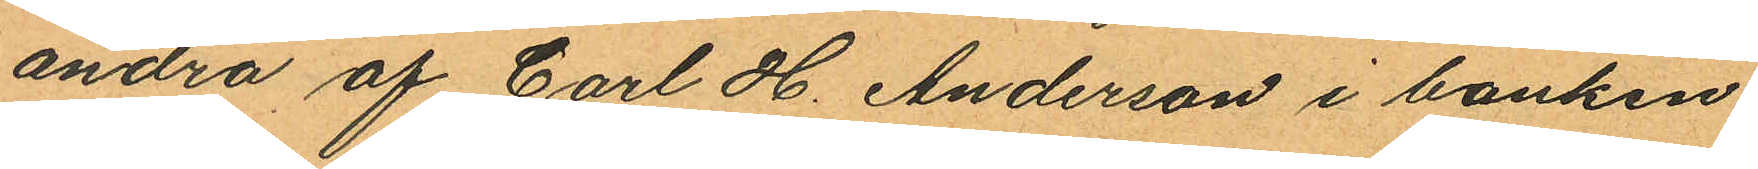andra af Carl H. Anderson i banken
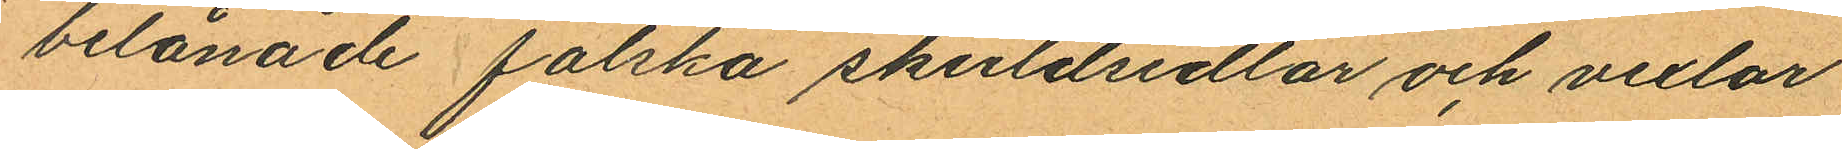belånade falska skuldsedlar och vexlar
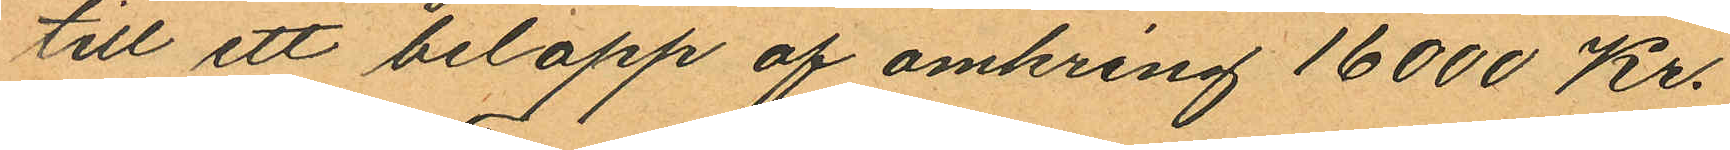till ett belopp af omkring 16000 Kr.
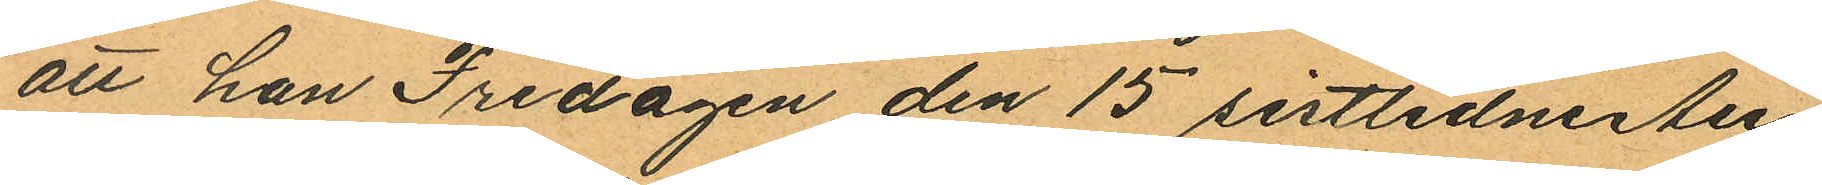att han Fredagen den 15 sistlidne Au¬
